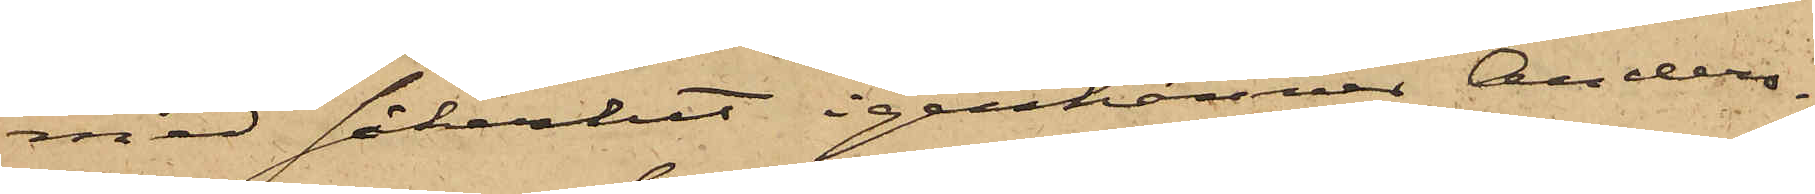med säkerhet igenkänner Anders¬
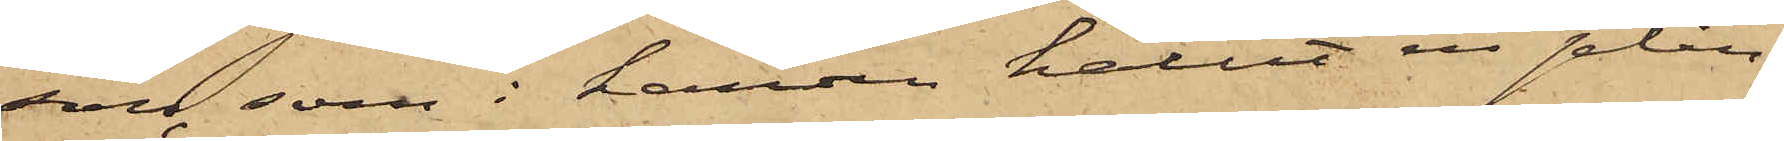son, som i handen hållit en plån¬
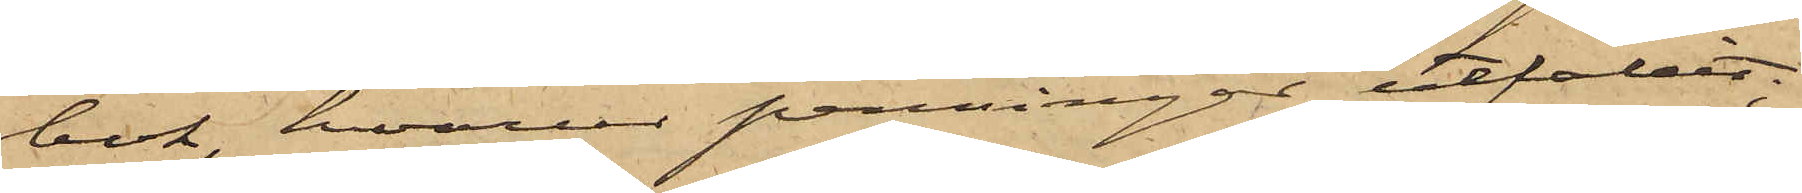bok, hvarur penningar utfallit;
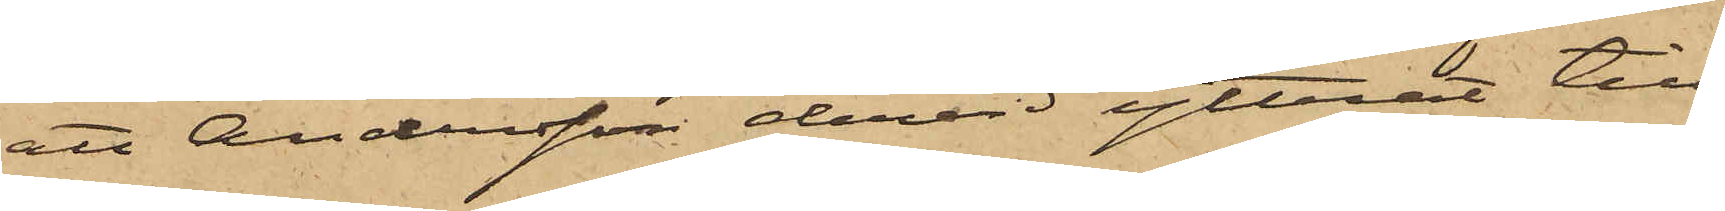att Andersson dervid yttrat till
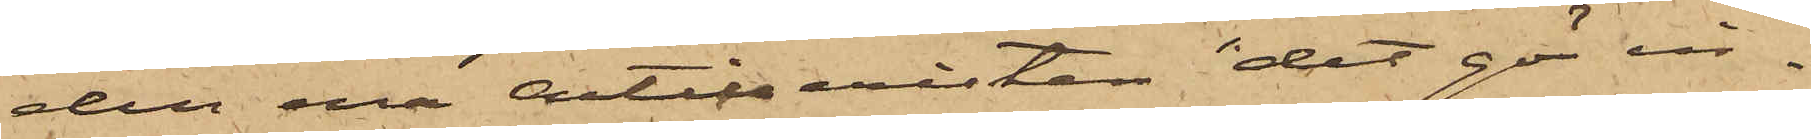den ena Artilleristen "det gör in¬
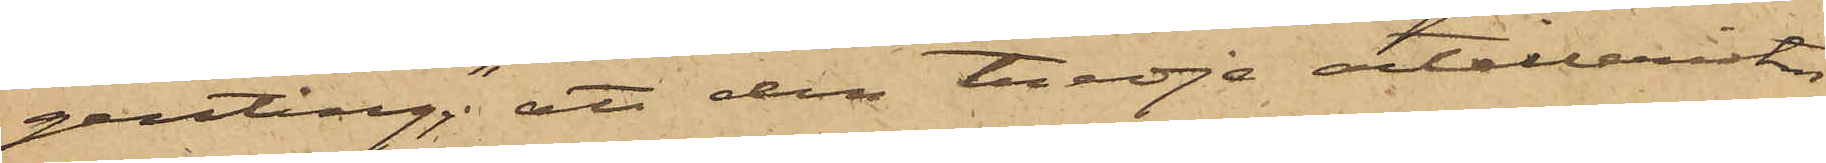genting"; att den tredje artilleristen
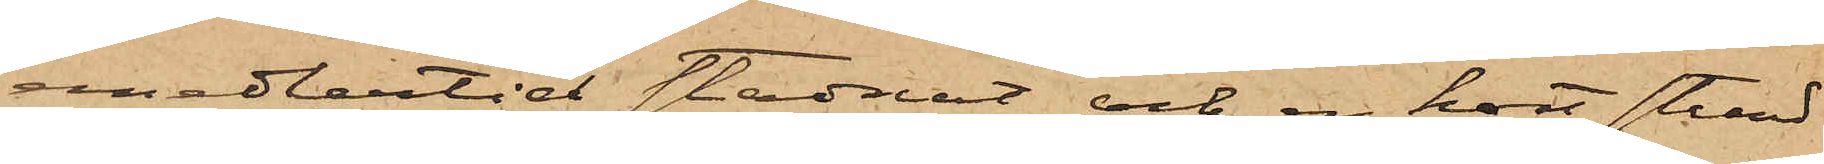emedlertid stadnat och en kort stund
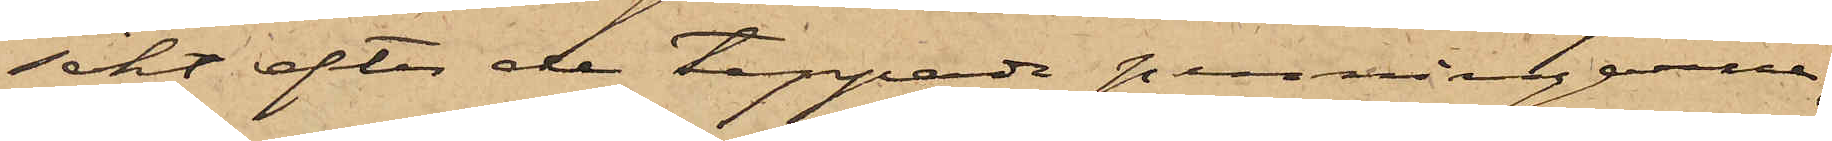sökt efter de tappade penningarne,
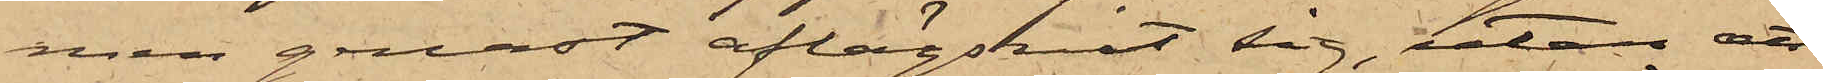men genast aflägsnat sig, utan att
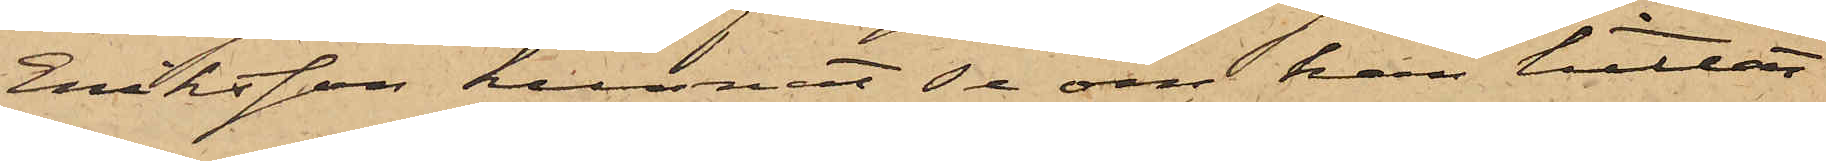Eriksson kunnat se om han hittat
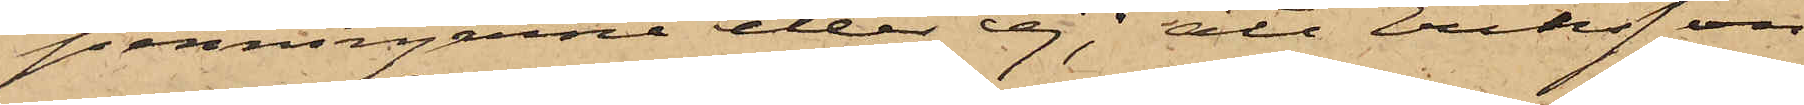penningarne eller ej; att Eriksson
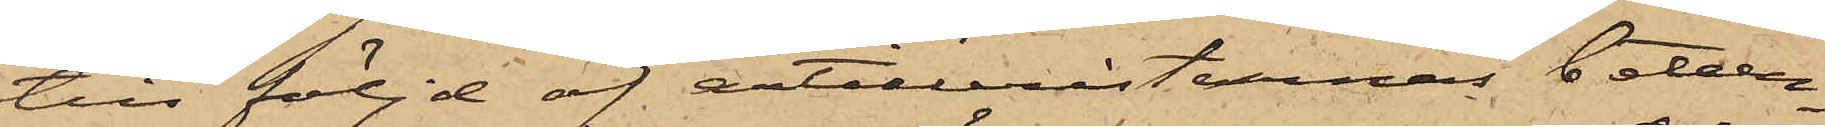till följd af artilleristernas beteen¬
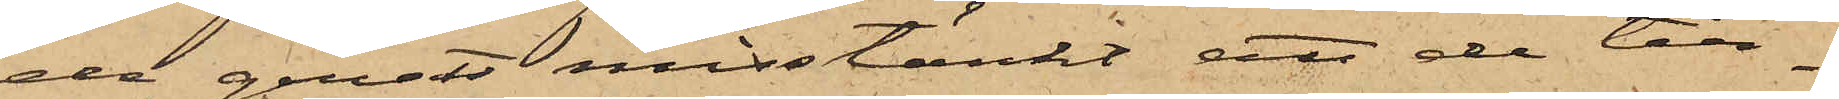de genast misstänkt att de till¬
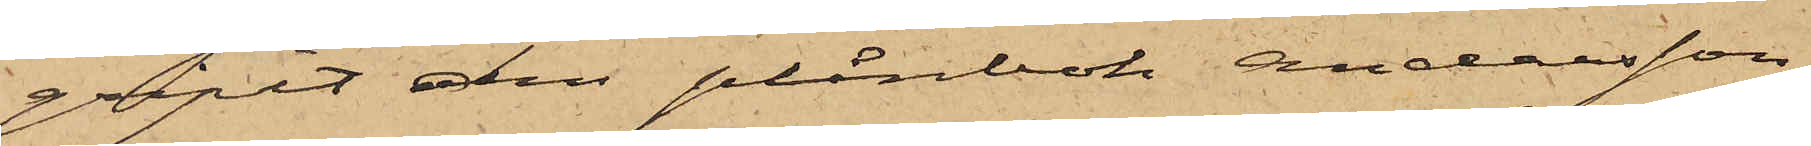gripit den plånbok Andersson
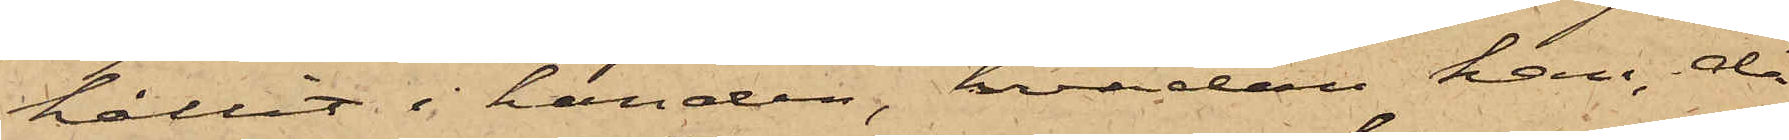hållit i handen, hvadan han, då
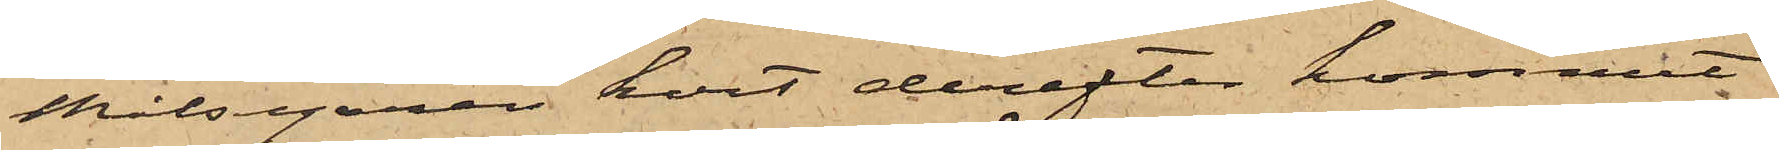Målsegaren kort derefter kommit
